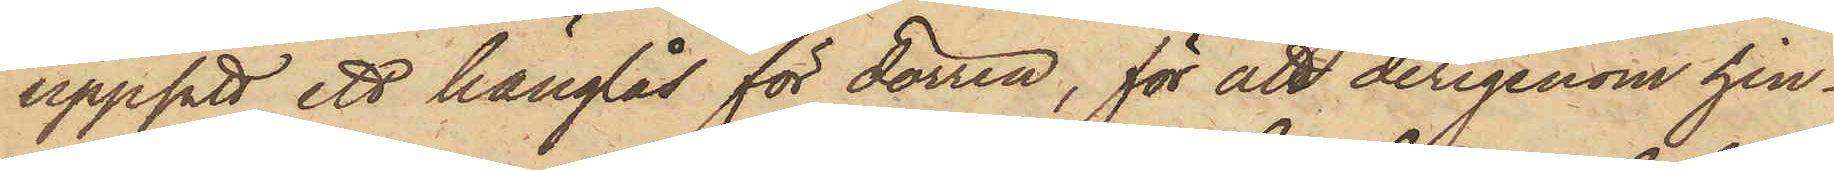uppsatt ett hänglås för dörren, för att derigenom hin¬
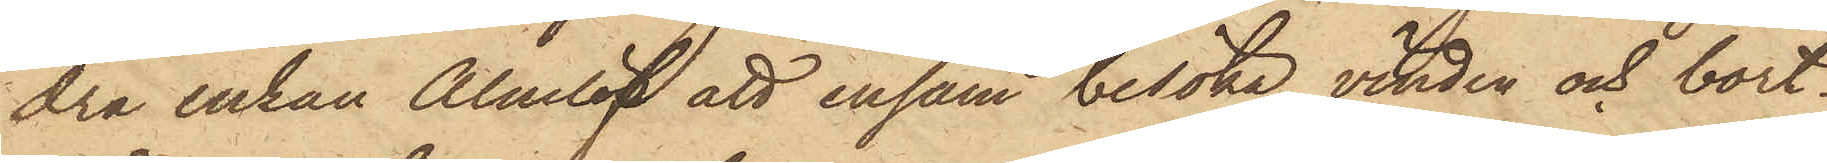dra enkan Almlöf att ensam besöka vinden och bort¬
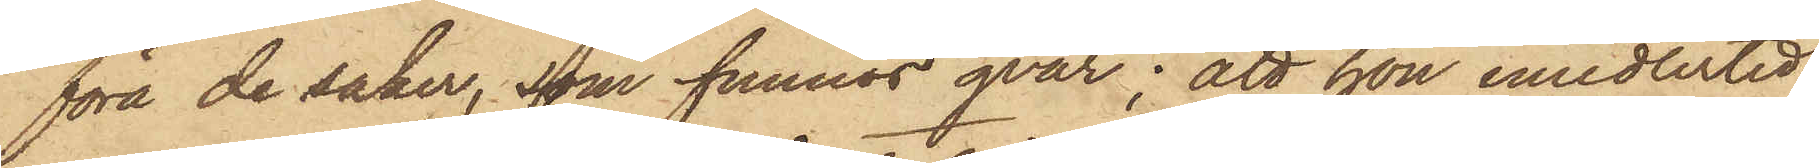föra de saker, som funnos qvar; att hon emedlertid
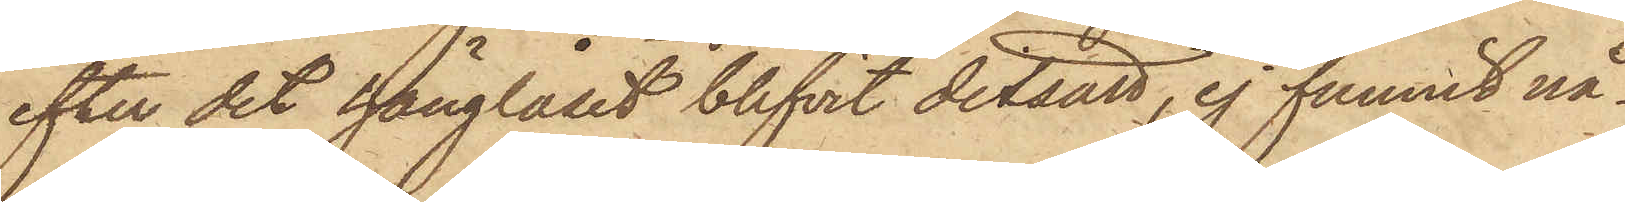efter det hänglåset blifvit ditsatt, ej funnit nå¬
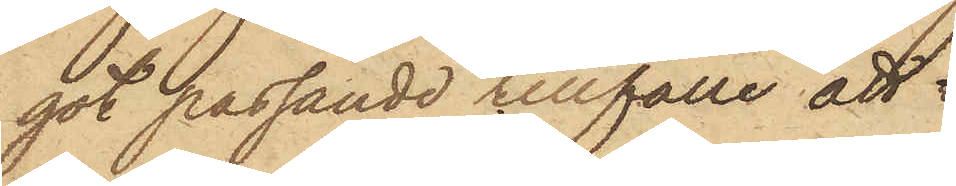got passande tillfälle att 
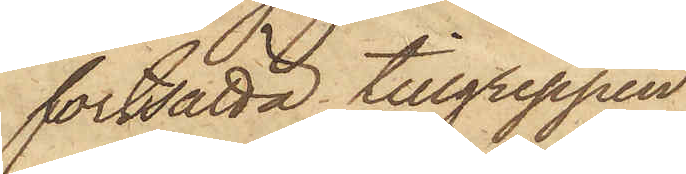fortsätta tillgreppen
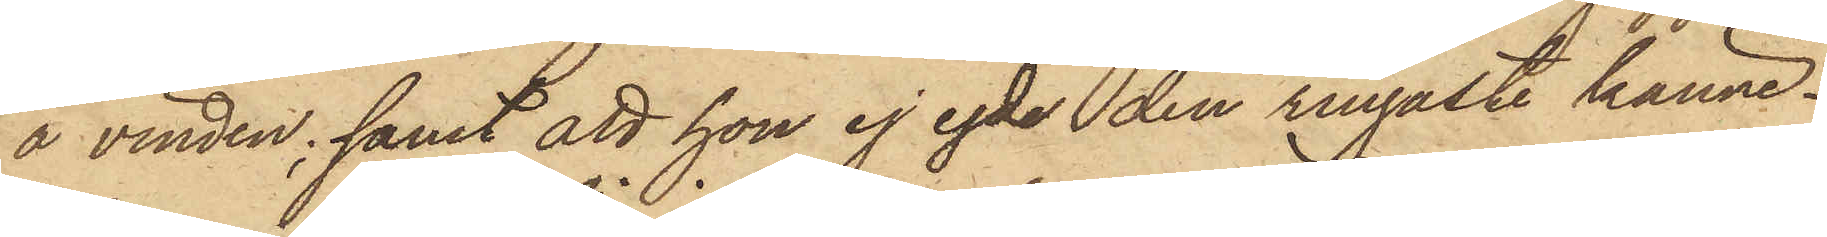å vinden; samt att hon ej egde den ringaste känne¬
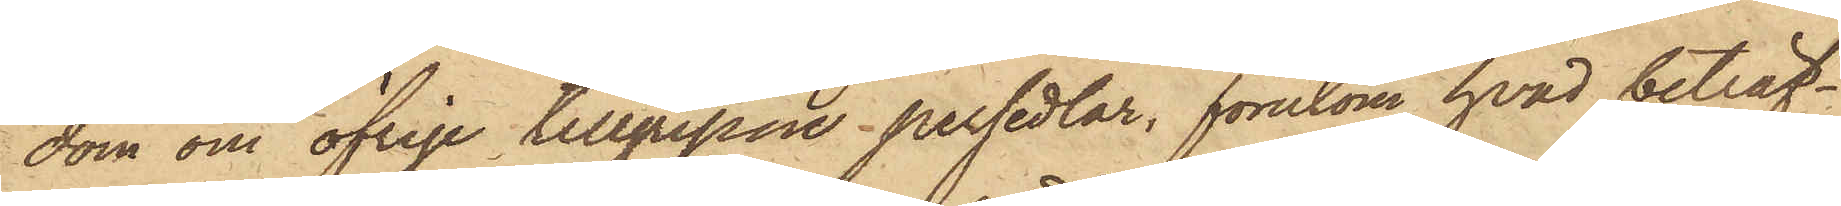dom om öfrige tillgripne persedlar, förutom hvad beträf¬
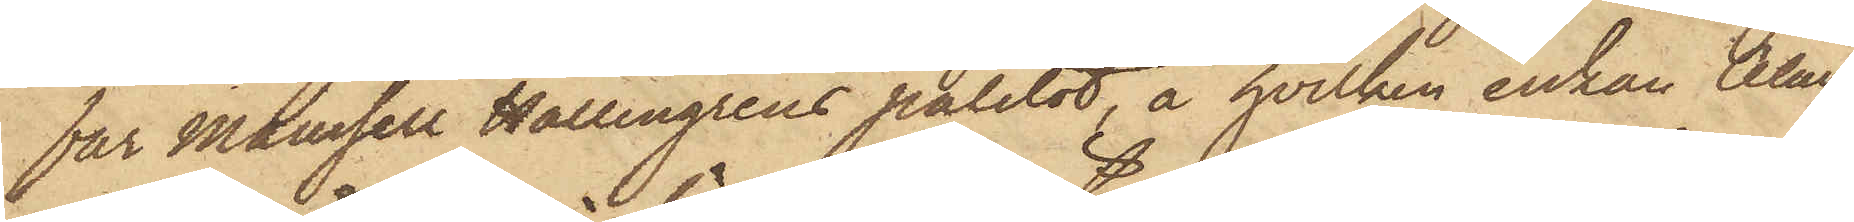för Mamsell Hallengrens paletot, å hvilken enkan Alm¬
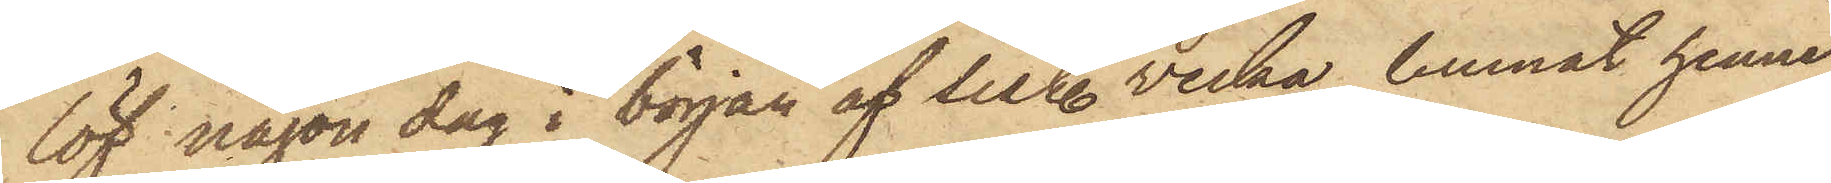löf någon dag i början af sist. vecka, lemnat henne
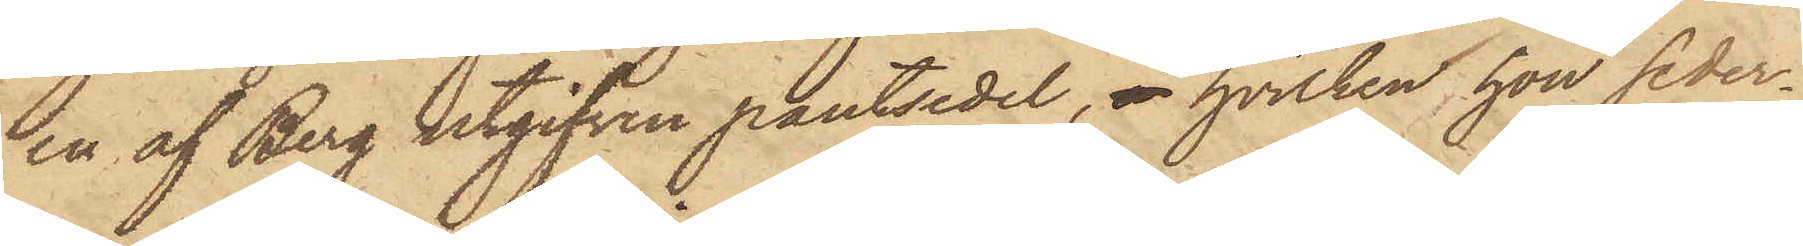en af Berg utgifven pantsedel, å hvilken hon seder¬
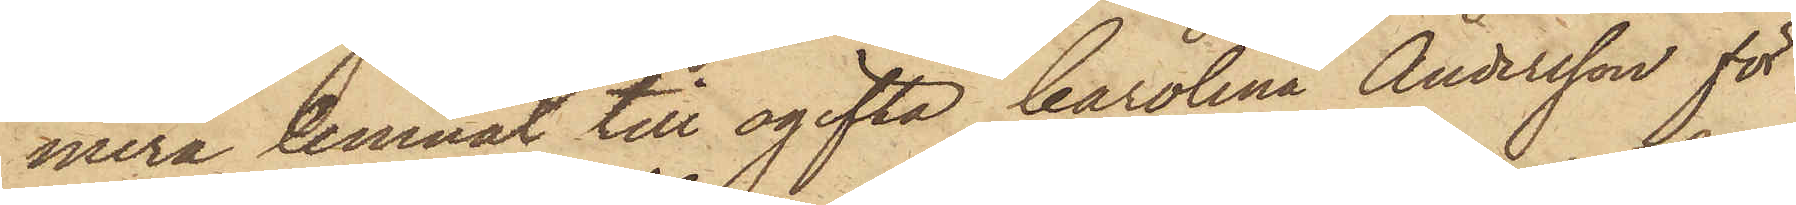mera lemnat till ogifta Carolina Andersson för
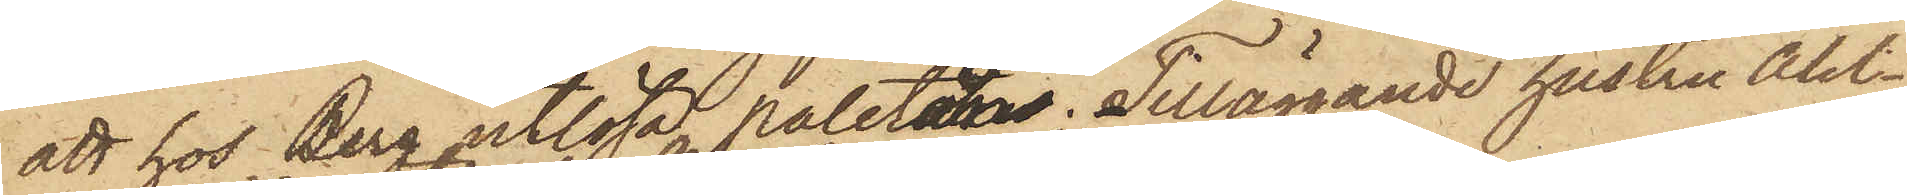att hos Berg utlösa paletån. Tilläggande hustru Ahl¬
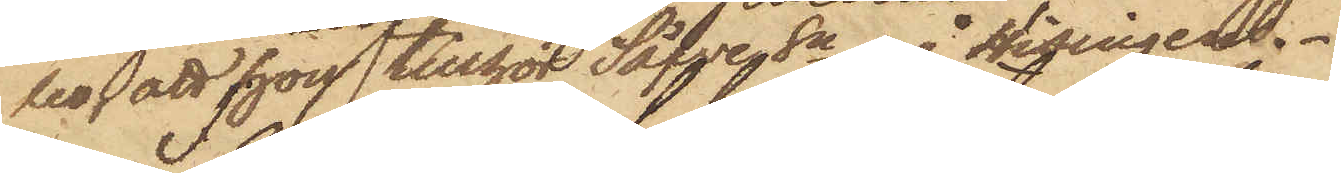bo, att hon tillhör Säfven Sn å Hisingen.
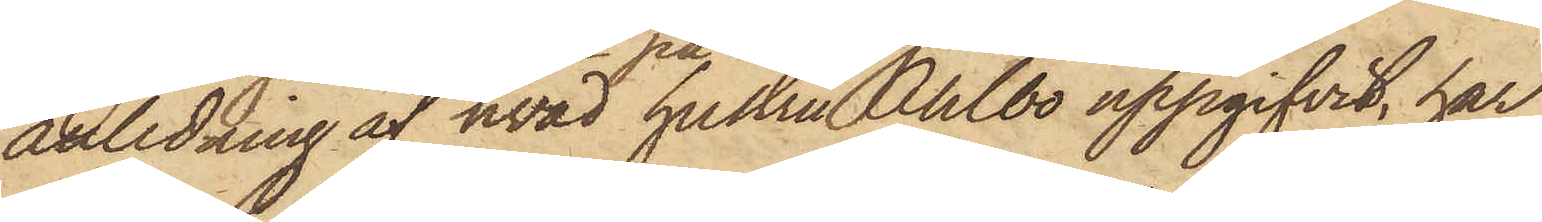I anledning af hvad hustru Ahlbo uppgifvit, har
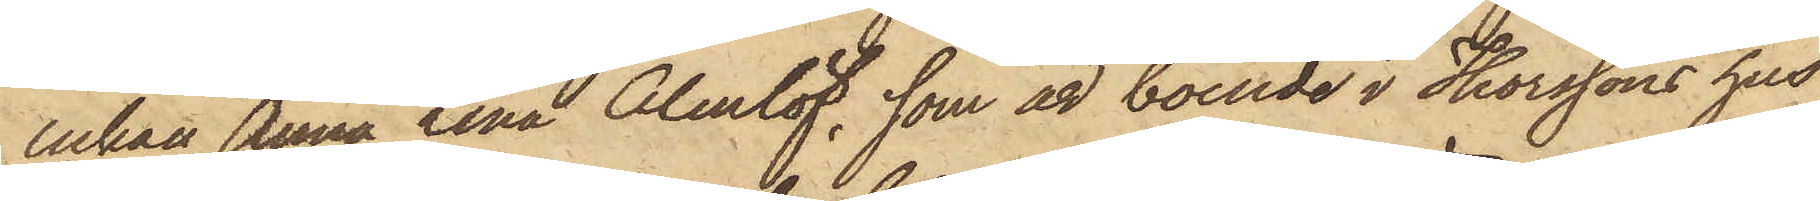enkan Anna Lena Almlöf, som är boende i Thorssons hus
